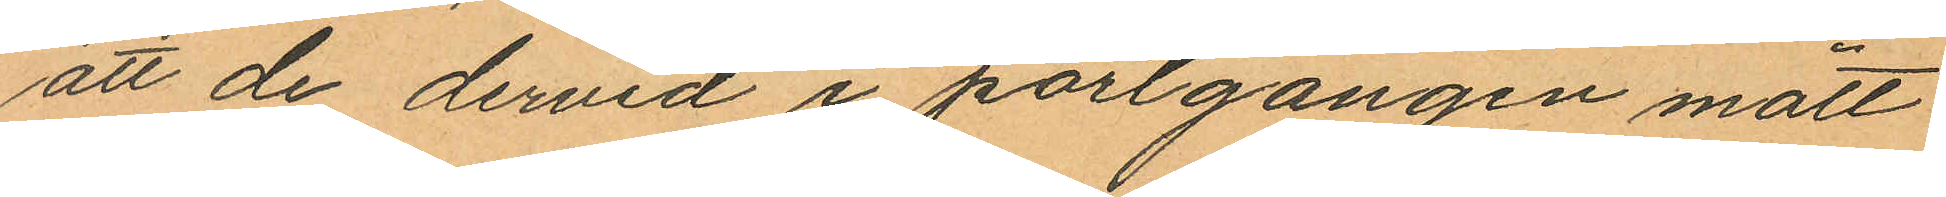att de dervid i portgången mött
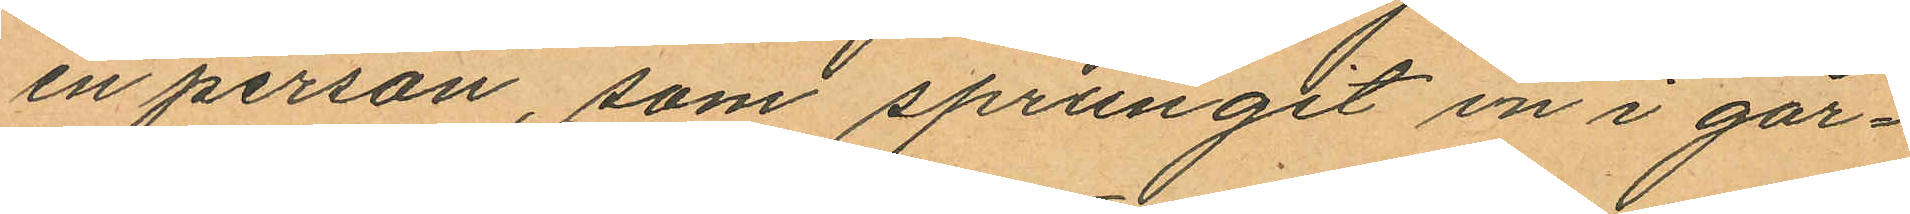en person, som sprungit in i går¬
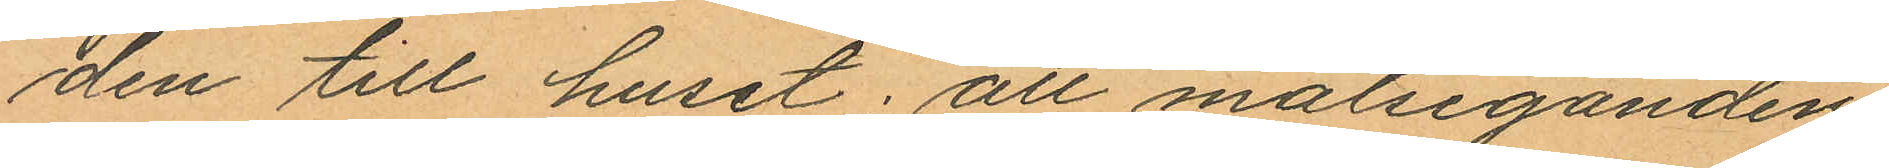den till huset; att målseganden
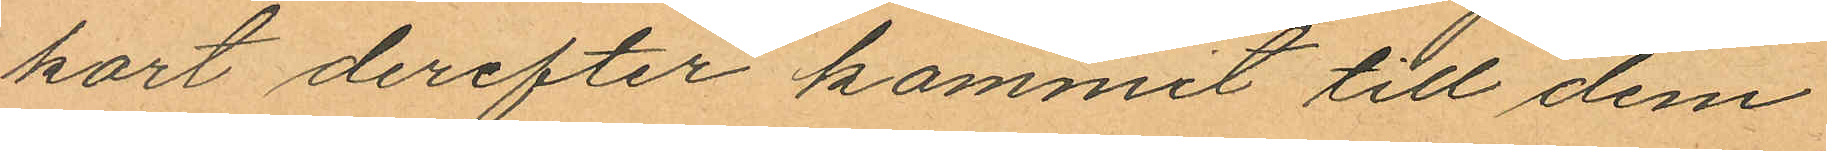kort derefter kommit till dem
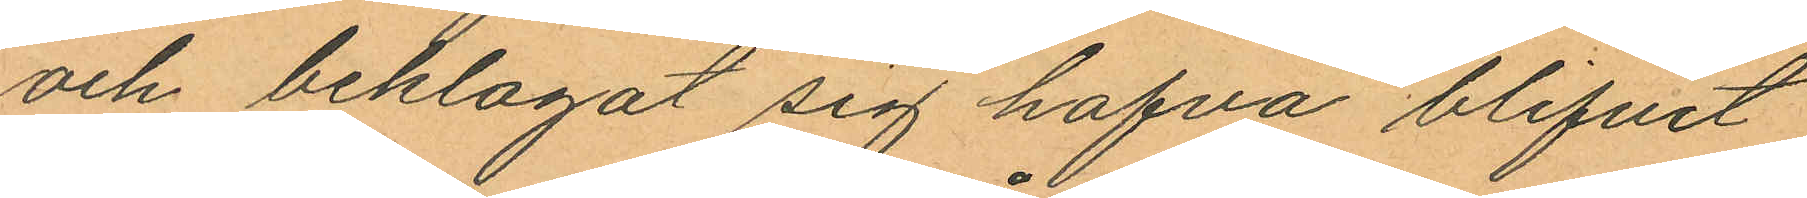och beklagat sig hafva blifvit
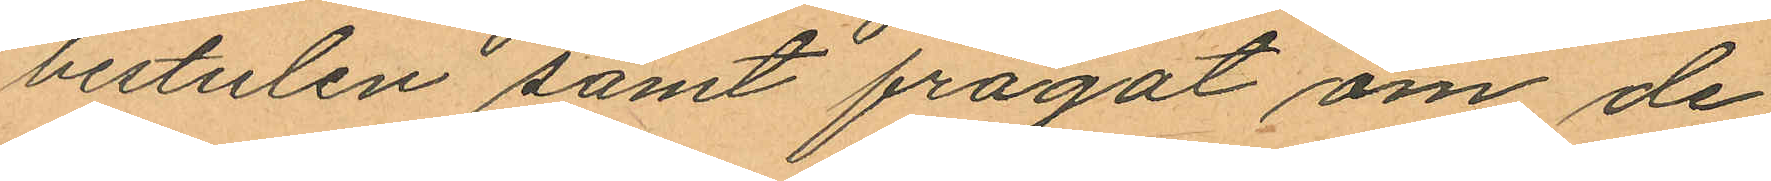bestulen samt frågat om de
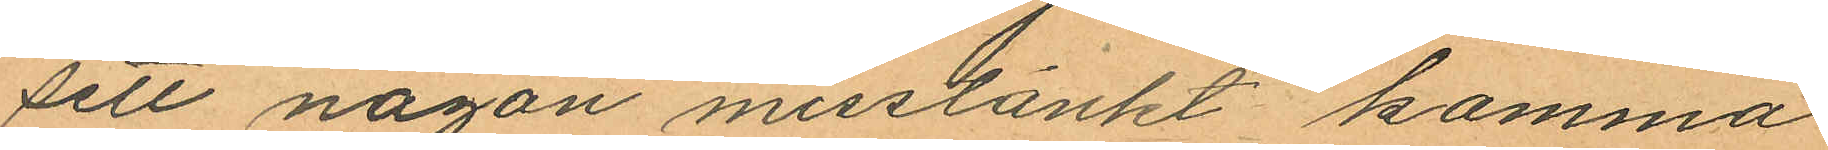sett någon misstänkt komma
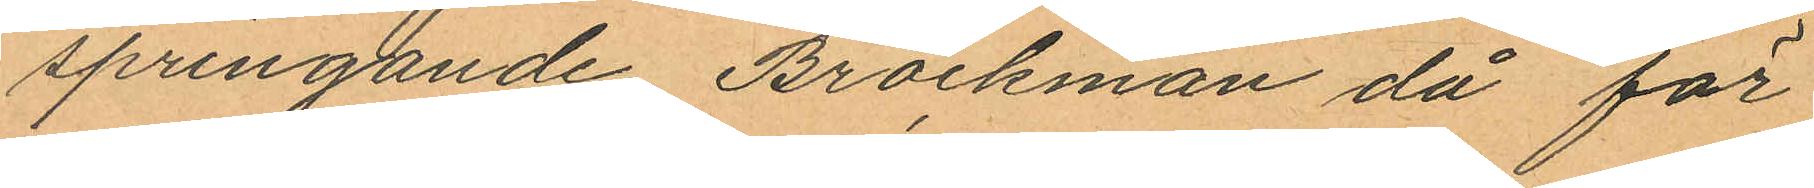springande Brockman då för
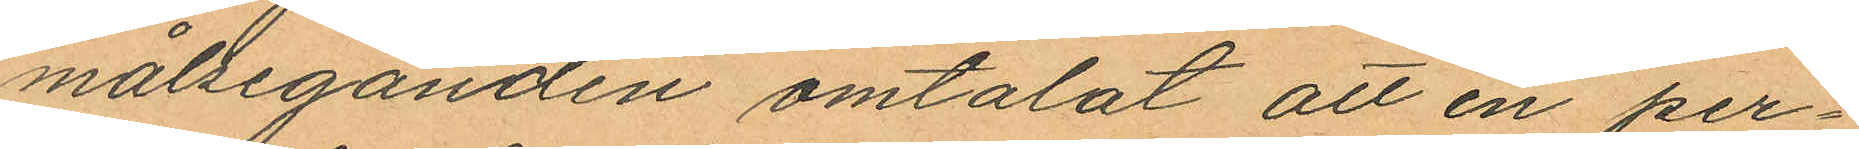målseganden omtalat att en per¬
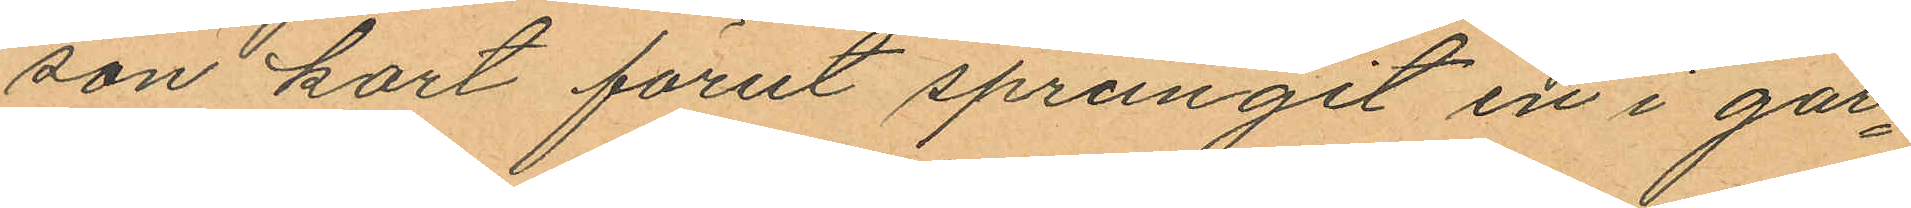son kort förut sprungit in i går¬
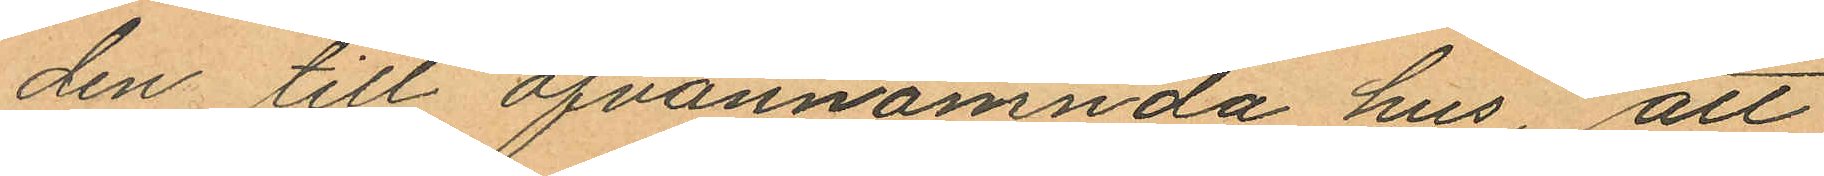den till ofvannämnda hus, att
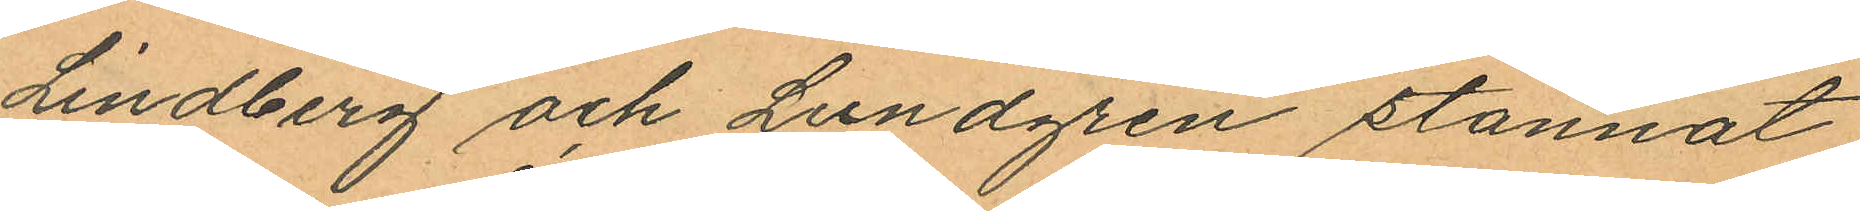Lindberg och Lundgren stannat
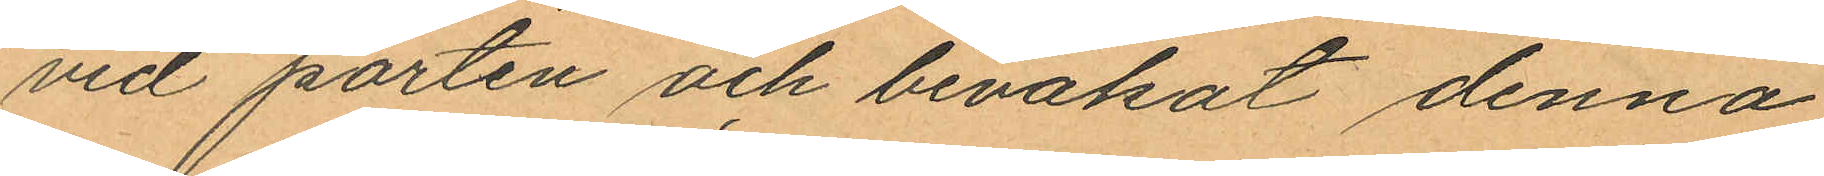vid porten och bevakat denna
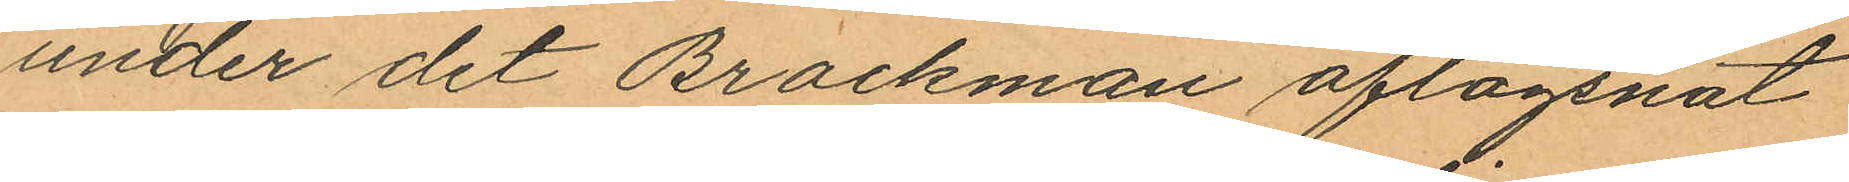under det Brockman aflägsnat
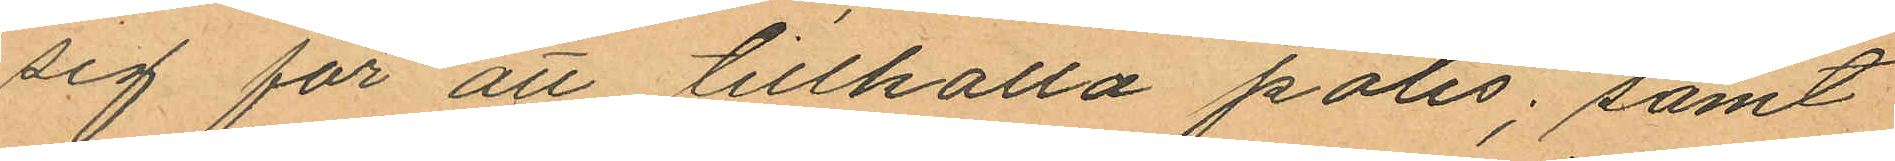sig för att tillkalla polis; samt
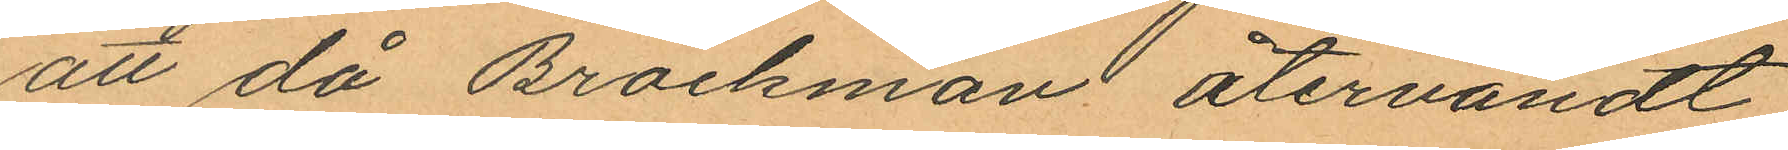att då Brockman återvändt
